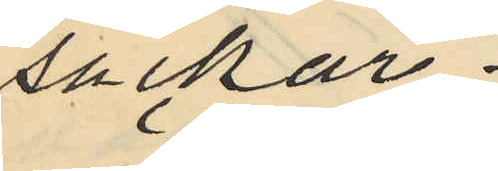säckar.
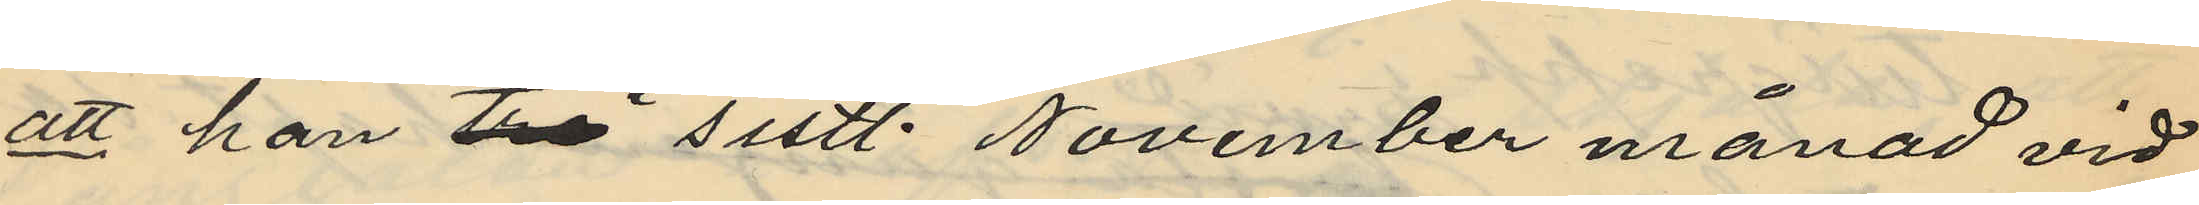att han två i sistl. November månad vid
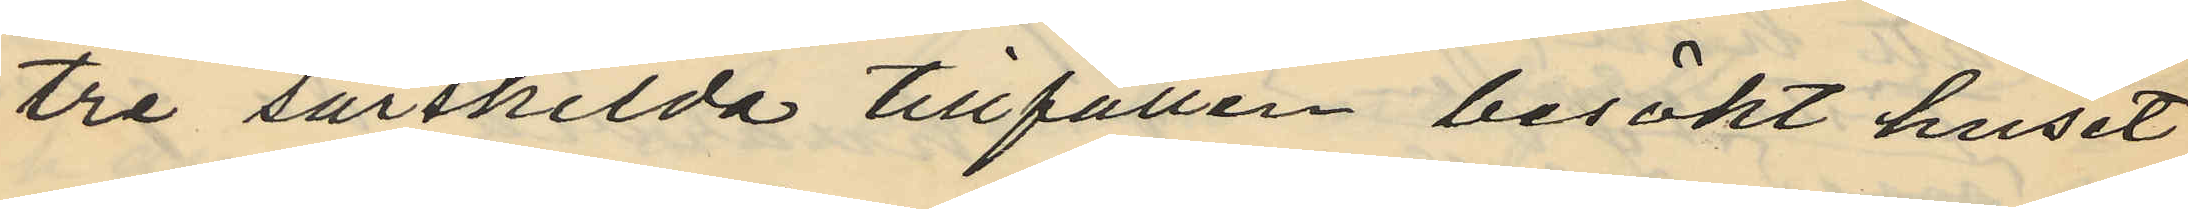tre särskilda tillfällen besökt huset
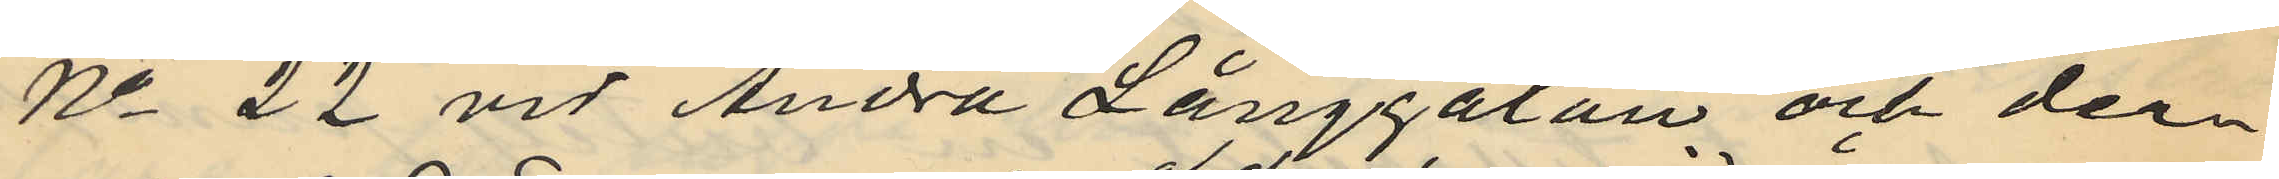No 22 vid Andra Långgatan och der¬
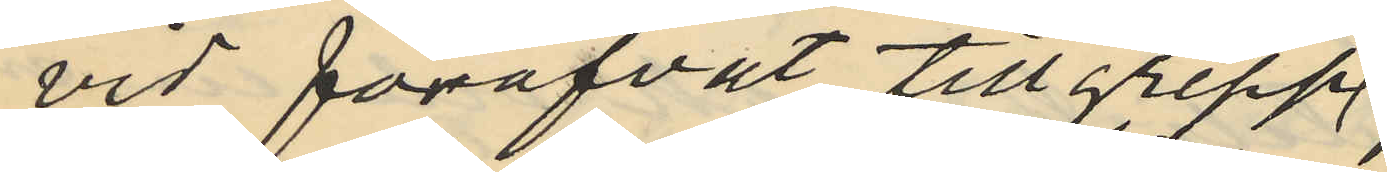vid föröfvat tillgrepp
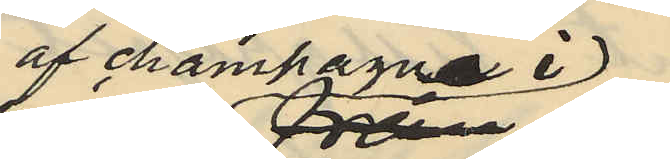af champagne i
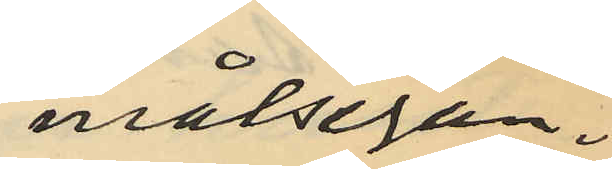målsegan¬
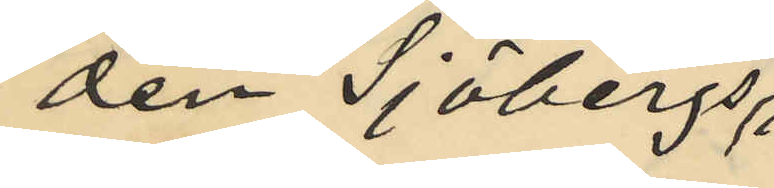den Sjöbergs
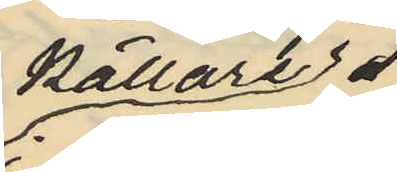källare
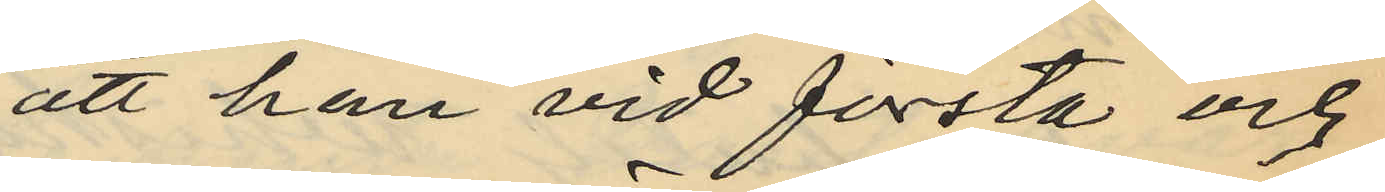att han vid första och
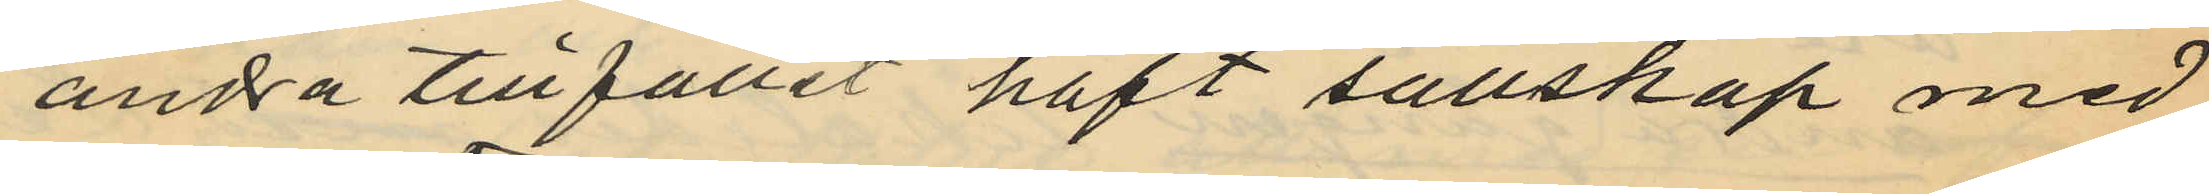andra tillfället haft sällskap med
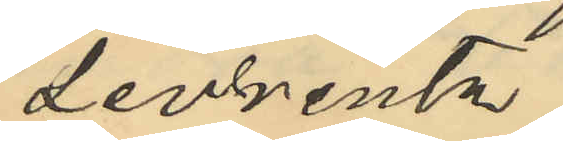Levrentz;
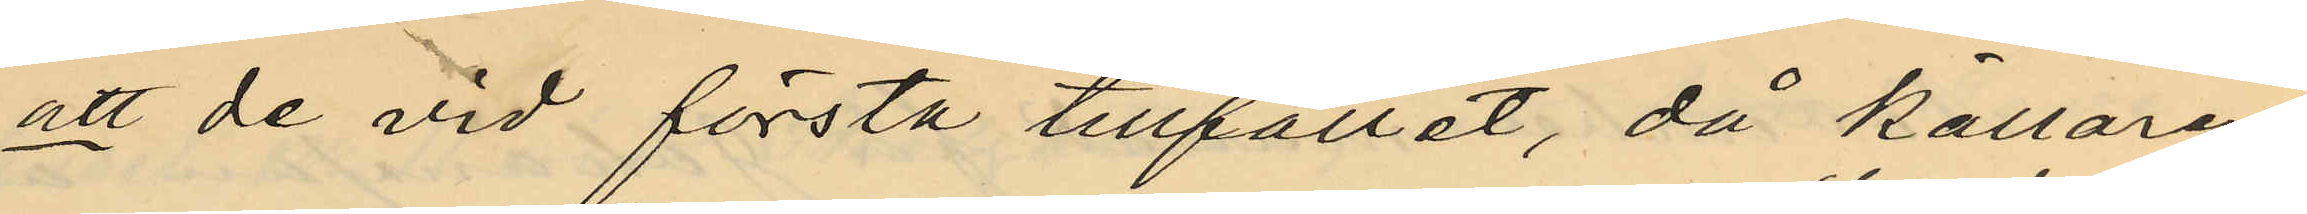att de vid första tillfället, då källaren
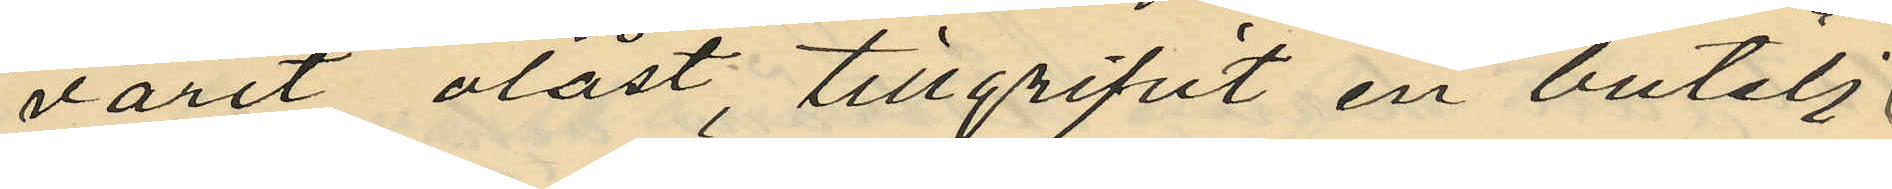varit olåst, tillgripit en butelj
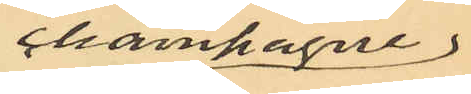champagne
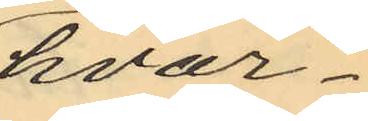hvar¬
